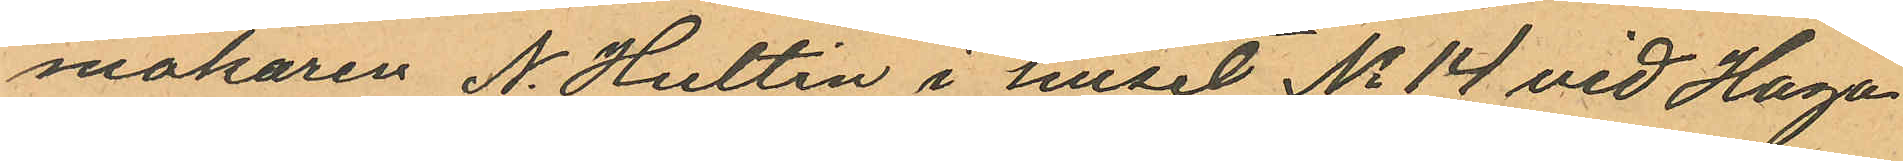makaren N. Hultin i huset No 14 vid Haga
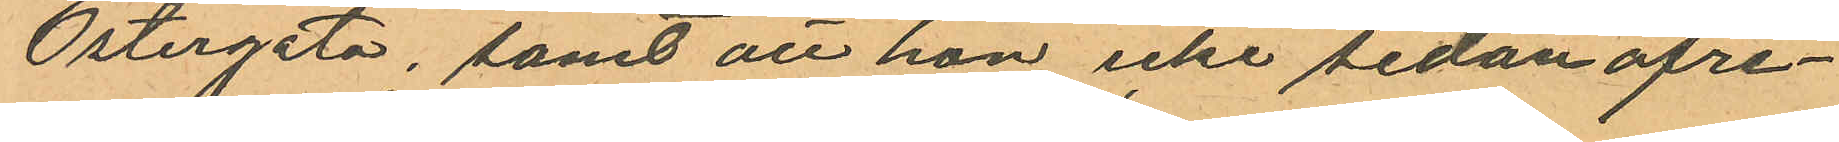Östergata, samt att hon icke sedan afre¬
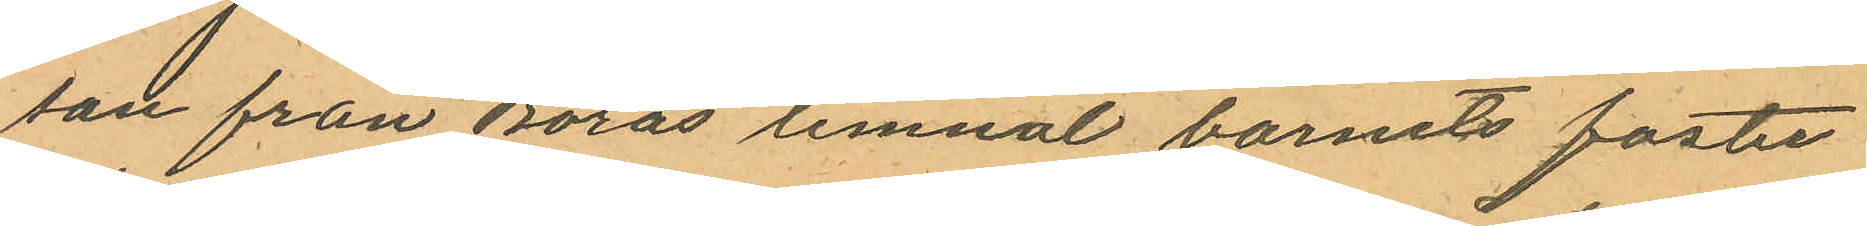san från Borås lemnat barnets foster
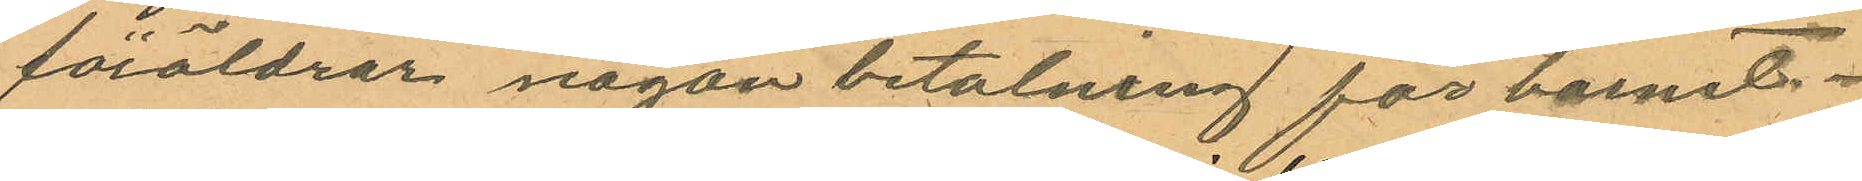föräldrar någon betalning för barnet.
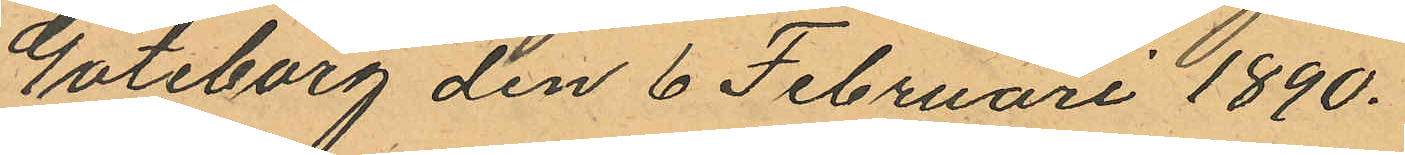Göteborg den 6 Februari 1890.
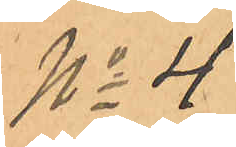No 4
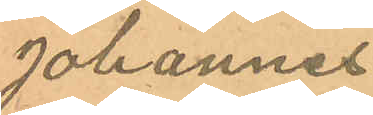Johannes
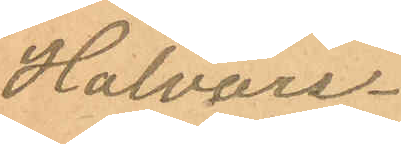Halvars¬
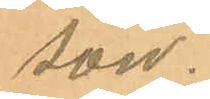son.
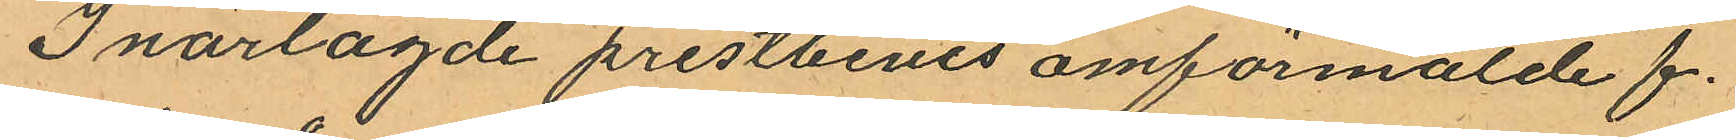I närlagde prestbevis omförmälde f.
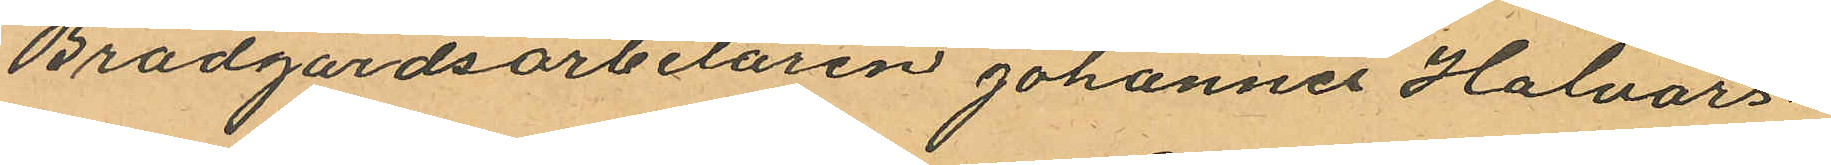Brädgårdsarbetaren Johannes Halvars¬
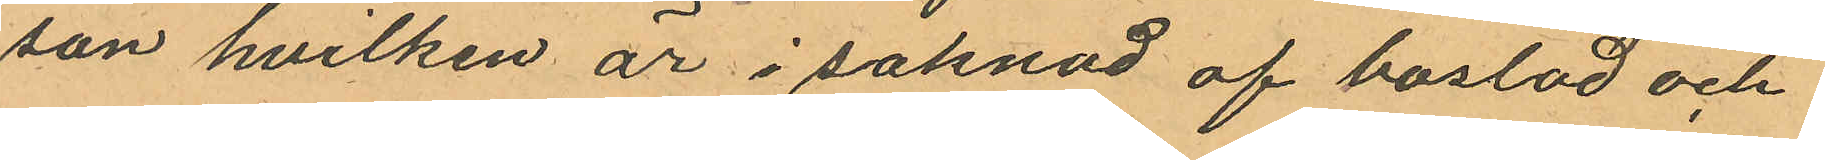son hvilken är i saknad af bostad och
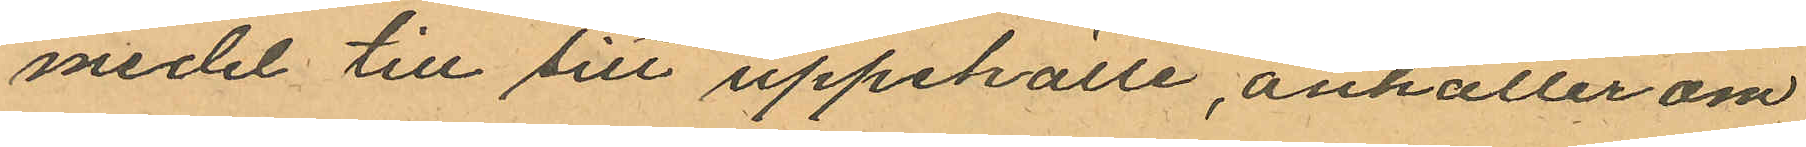medel till sitt uppehälle, anhaller om
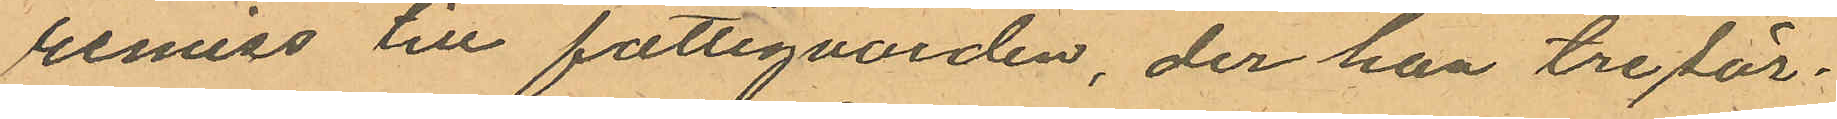remiss till fattigvården, der han tre sär¬
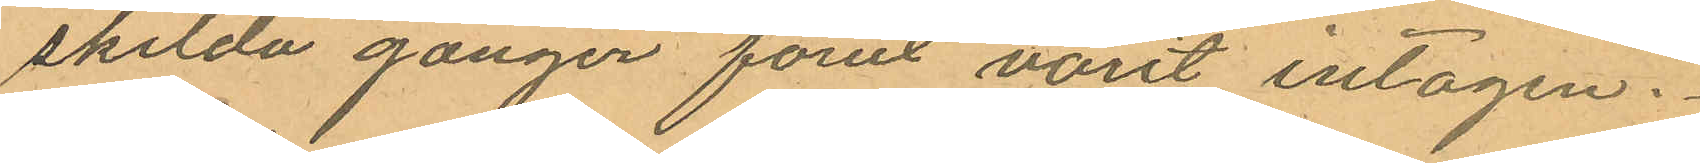skilda gånger förut varit intagen.
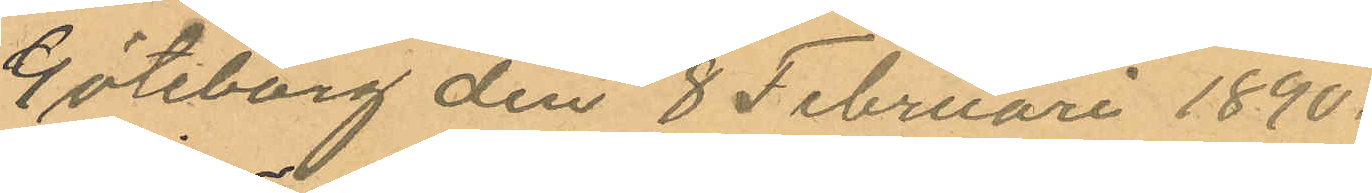Göteborg den 8 Februari 1890.
